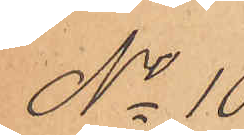No 10
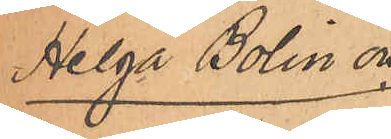Helga Bolin och
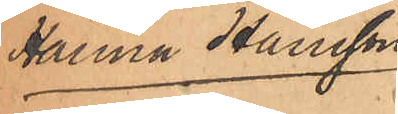Hanna Hansson.
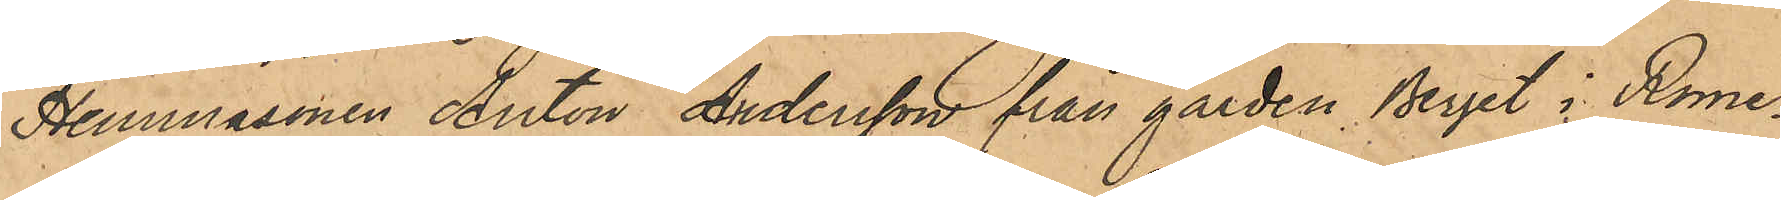Hemmasonen Anton Andersson från gården Berget i Rome¬
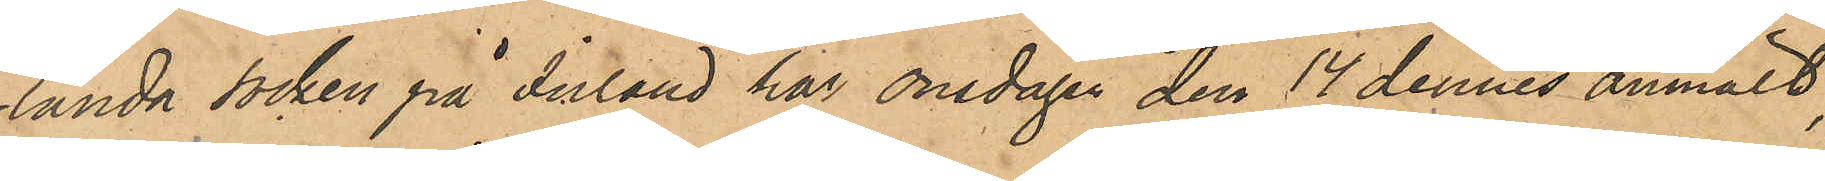landa socken på Inland har onsdagen den 14 dennes anmält,
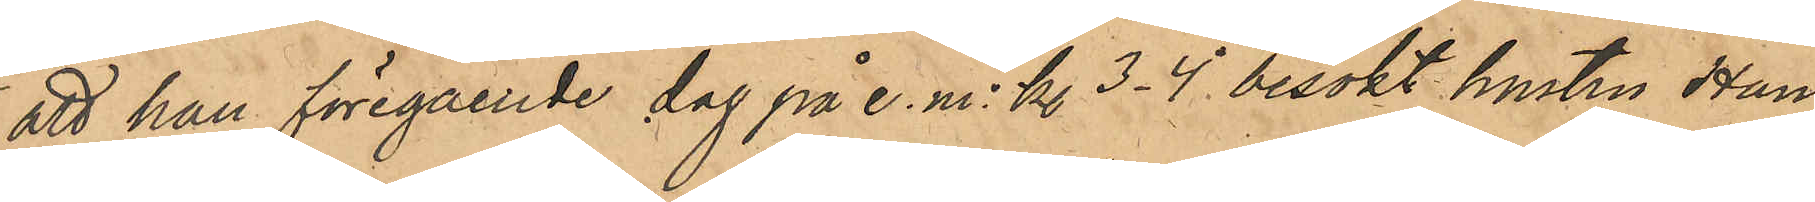att han föregående dag på e. m. kl 3-4 besökt hustru Han¬
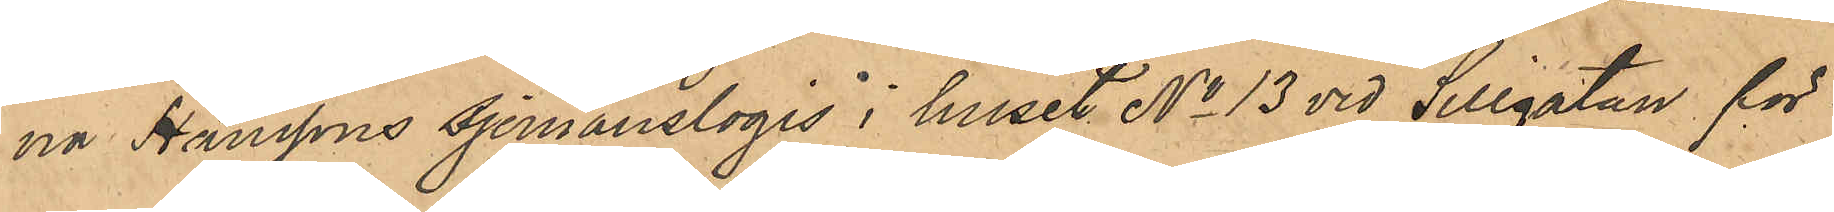na Hanssons sjömanslogis i huset No 13 vid Sillgatan för
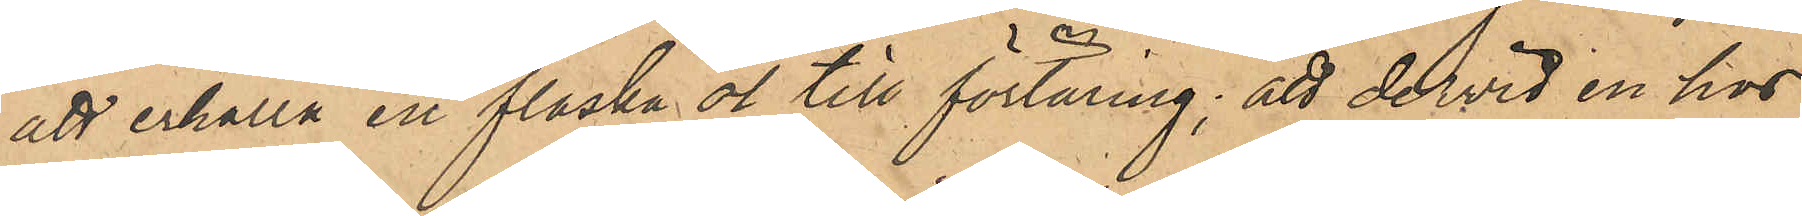att erhålla en flaska öl till förtäring; att derwid en hos
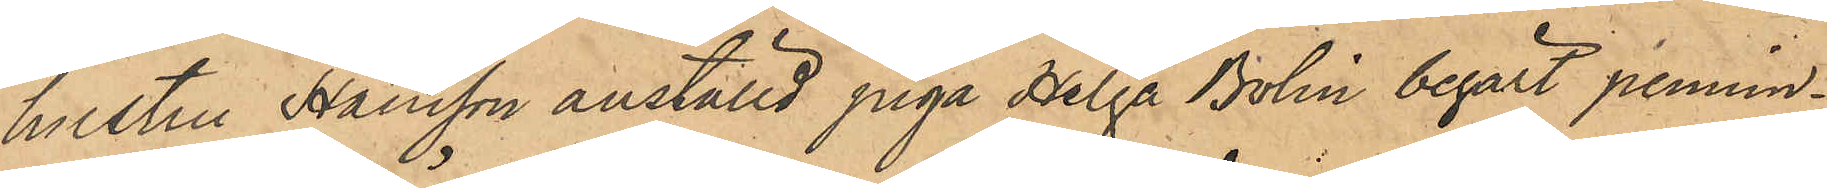hustru Hansson anställd piga Helga Bolin begärt pennin¬
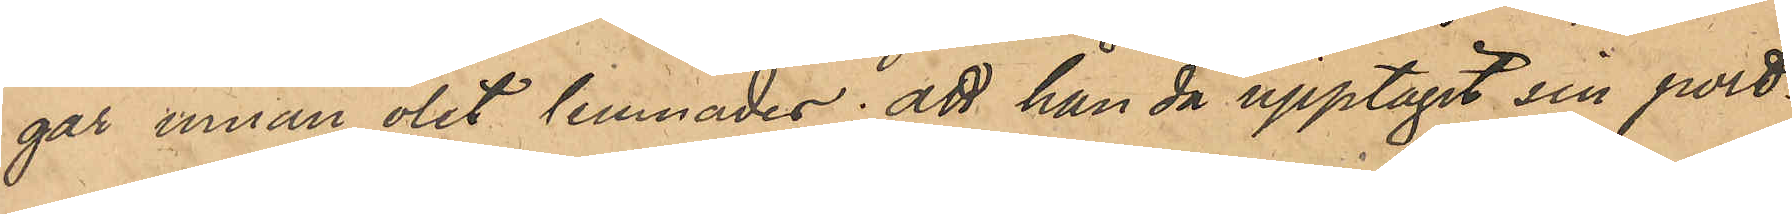gar innan ölet lemnades; att han då upptagit sin port¬
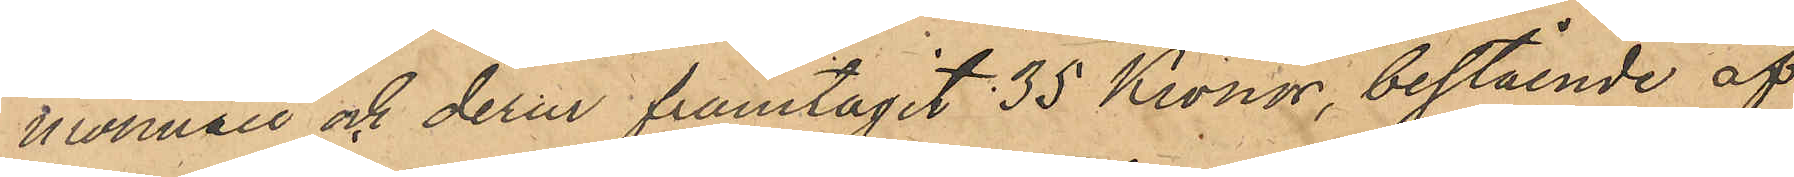monnaie och derur framtagit 35 Kronor, bestående af
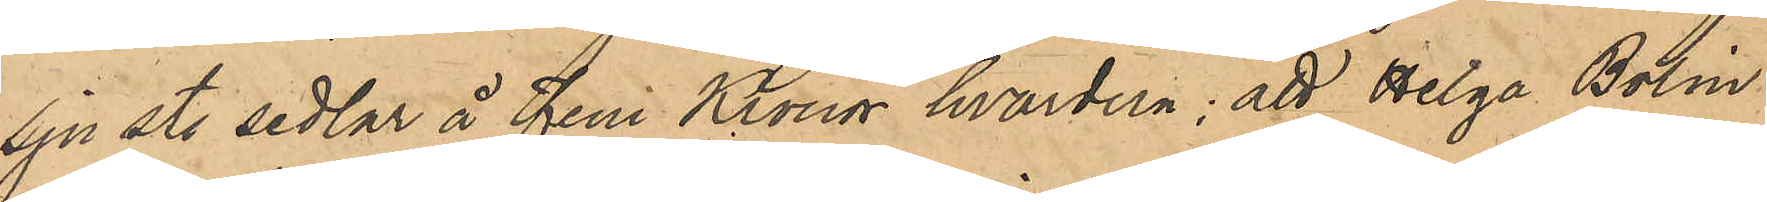sju st. sedlar å fem Kronor hvardera; att Helga Bolin
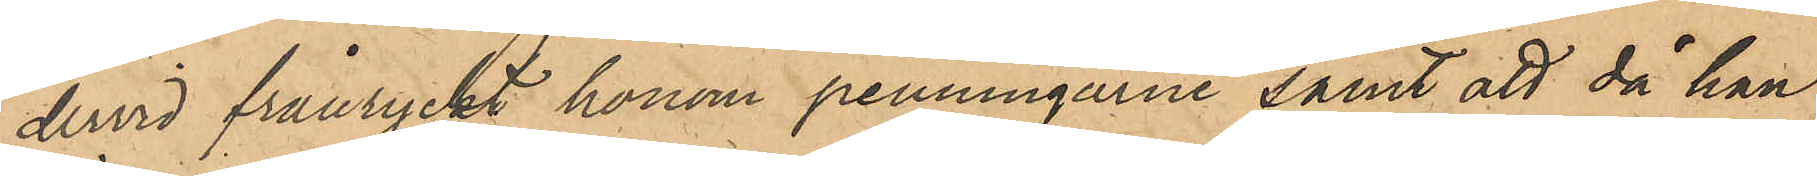dervid frånryckt honom penningarne samt att då han
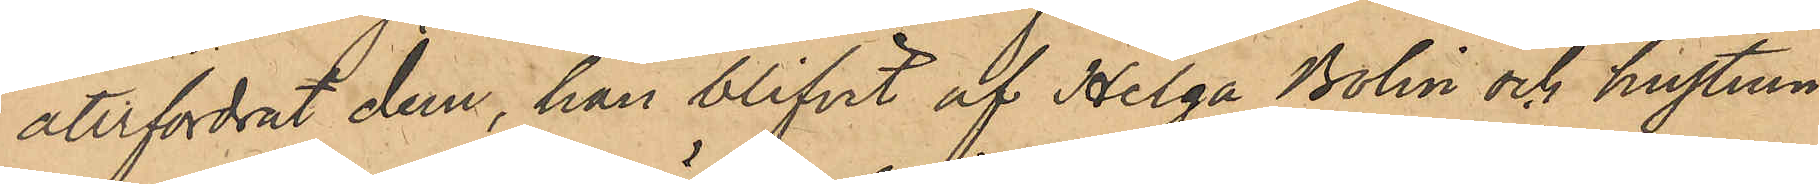återfordrat dem, han blifvit af Helga Bolin och hustrun
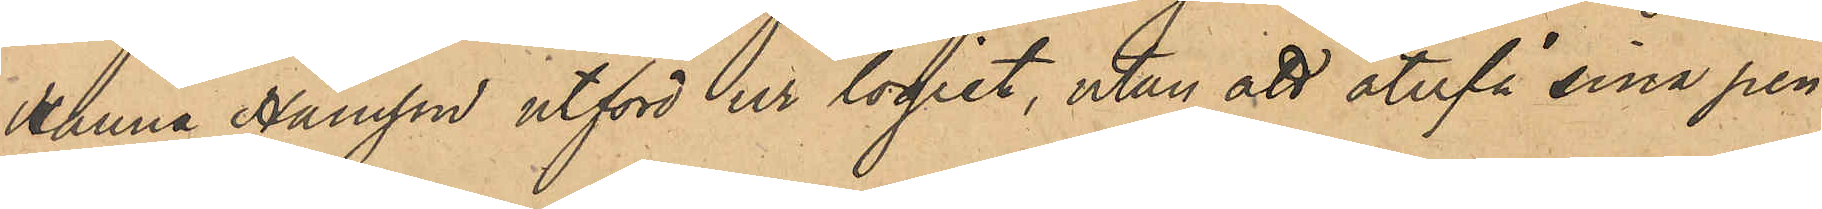Hanna Hansson utförd ur logiet, utan att återfå sina pen¬
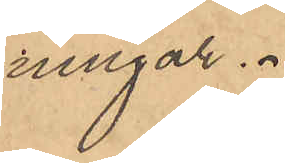ningar.
